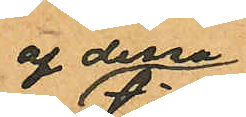af dessa
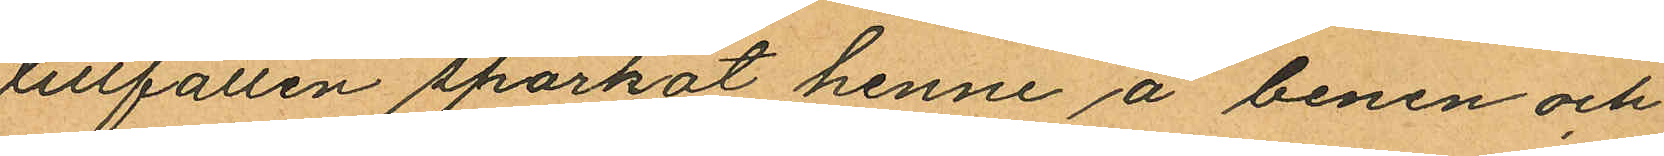tillfällen sparkat henne å benen och
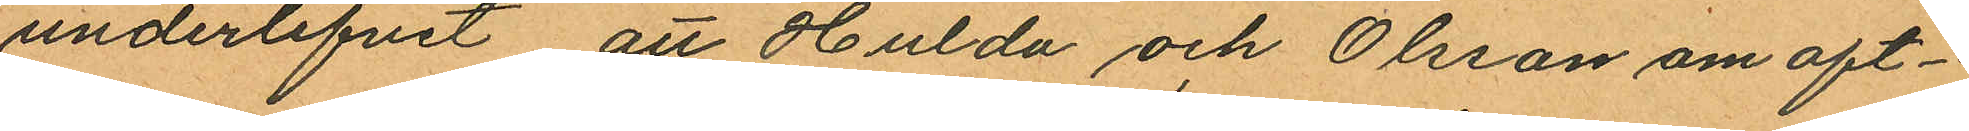underlifvet att Hulda och Olsson om aft¬
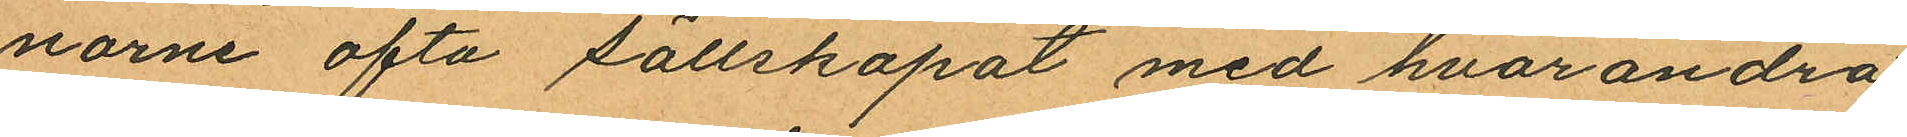narne ofta sällskapat med hvarandra
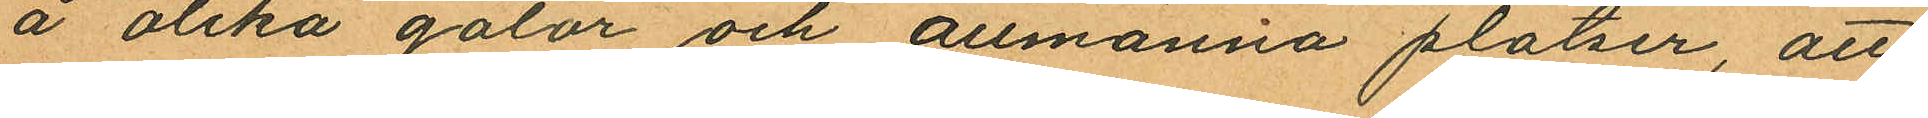å olika gator och allmänna platser, att
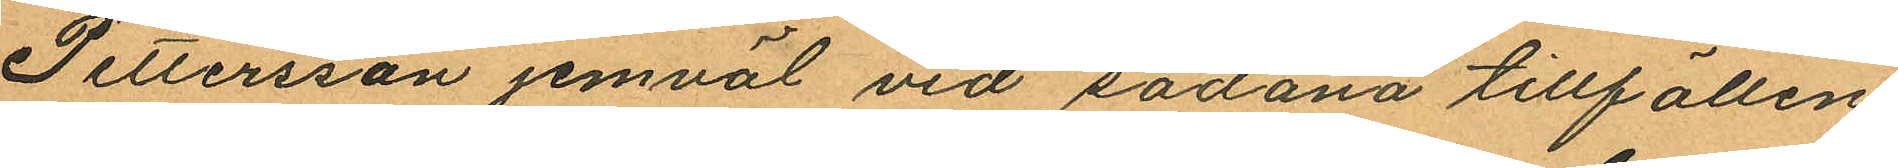Pettersson jemväl vid sådana tillfällen
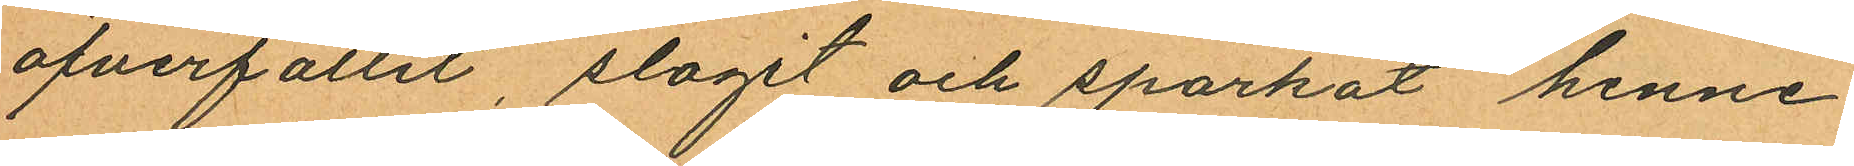öfverfallit, slagit och sparkat henne,
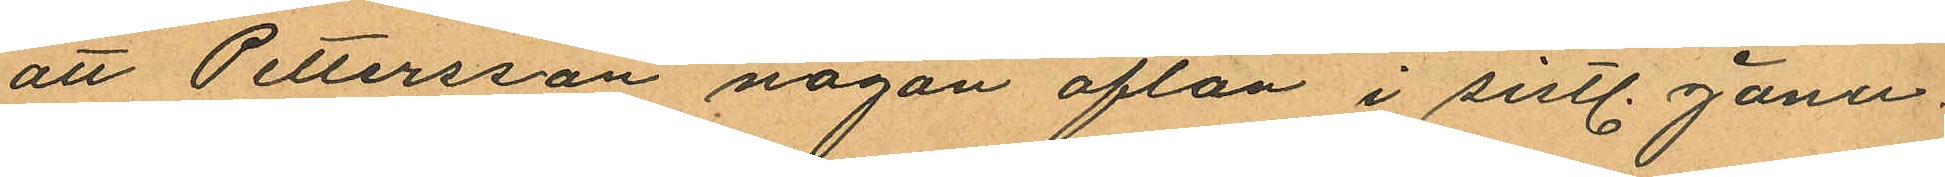att Pettersson någon afton i sistl. Janu¬
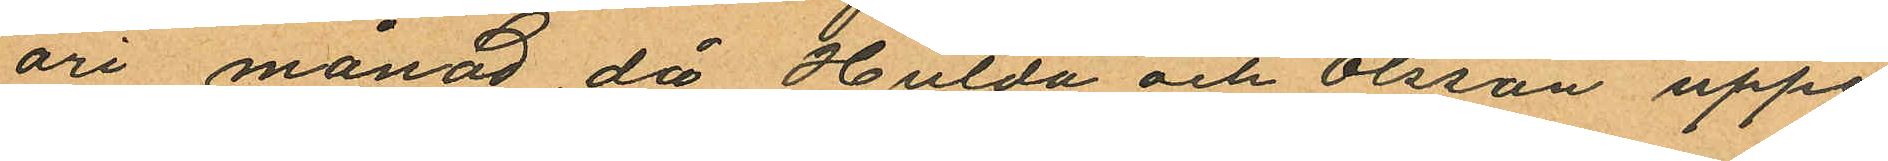ari månad då Hulda och Olsson uppe
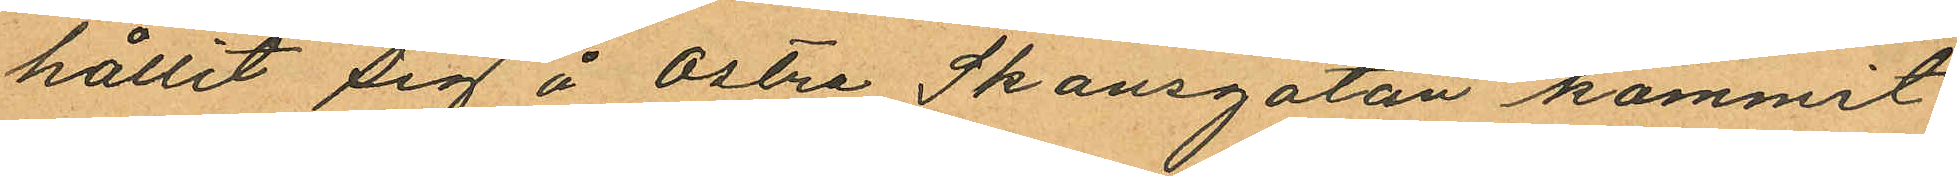hållit sig å Ostra Skansgatan kommit
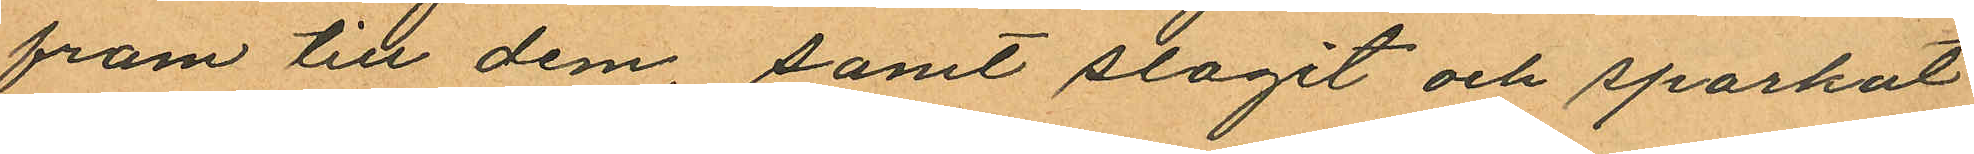fram till dem, samt slagit och sparkat
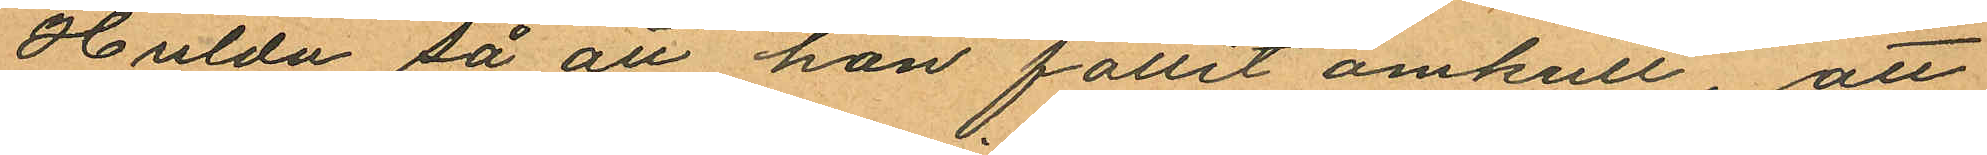Hulda så att hon fallit omkull, att
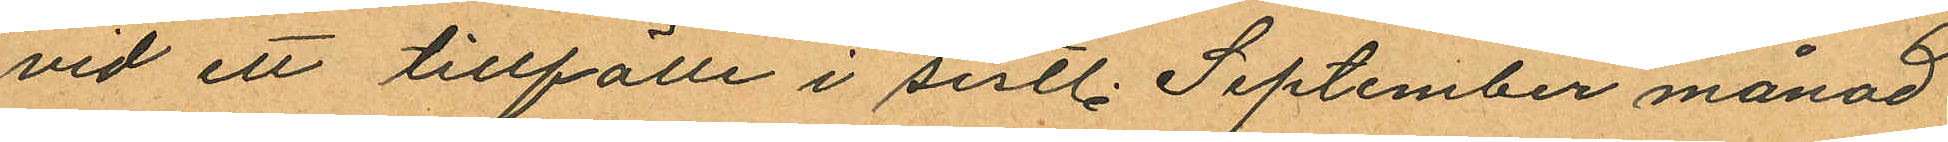vid ett tillfälle i sistl. September månad
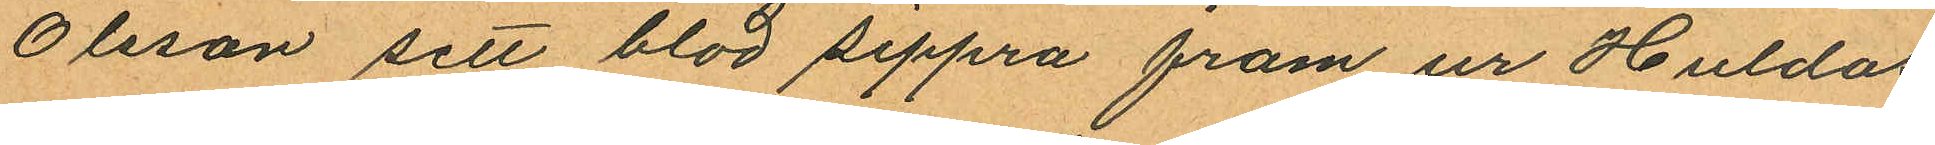Olsson sett blod sippra fram ur Huldas
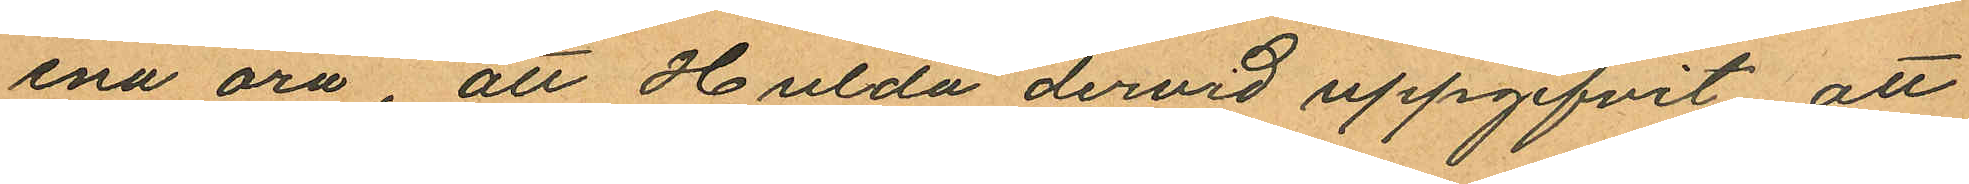ena öra, att Hulda dervid uppgifvit att
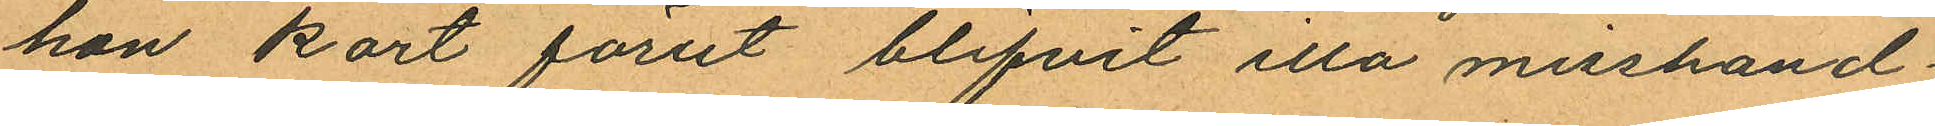han kort förut blifvit illa misshand¬
